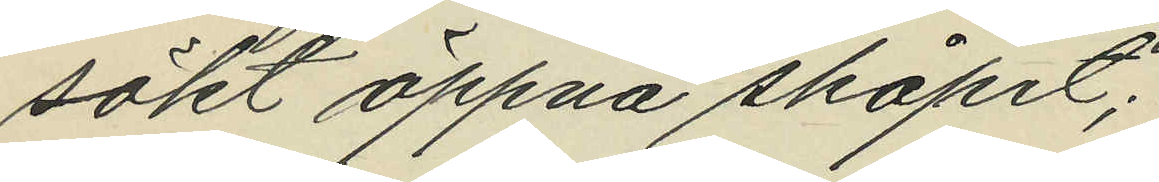sökt öppna skåpet;
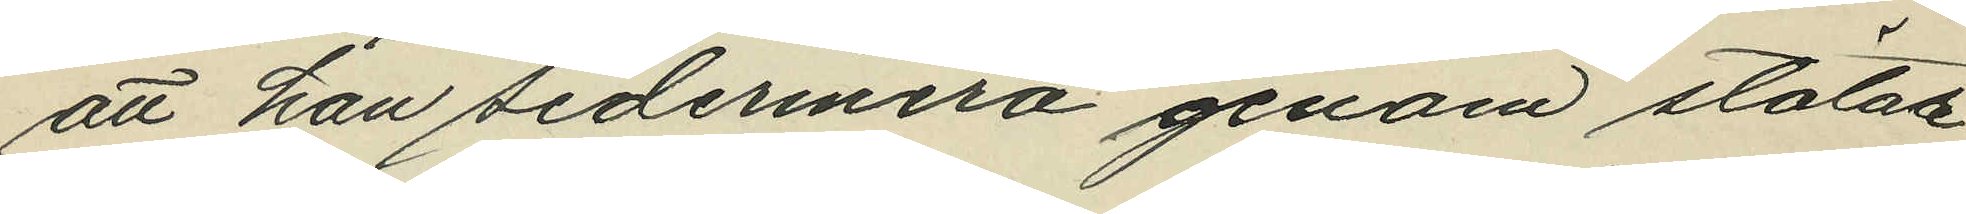att han sedermera genom stötar
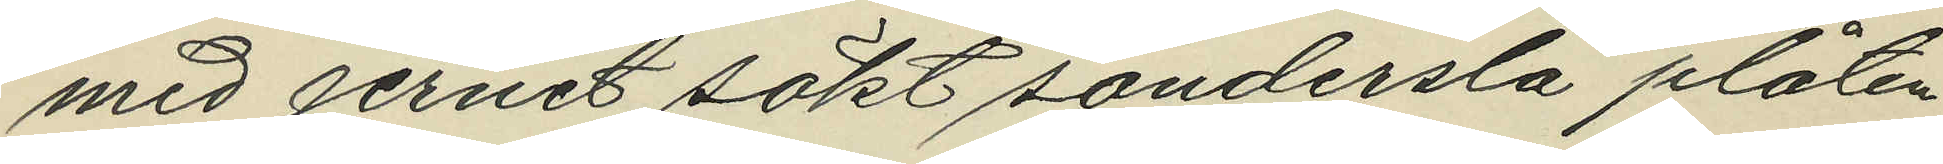med jernet sökt sönderslå plåten
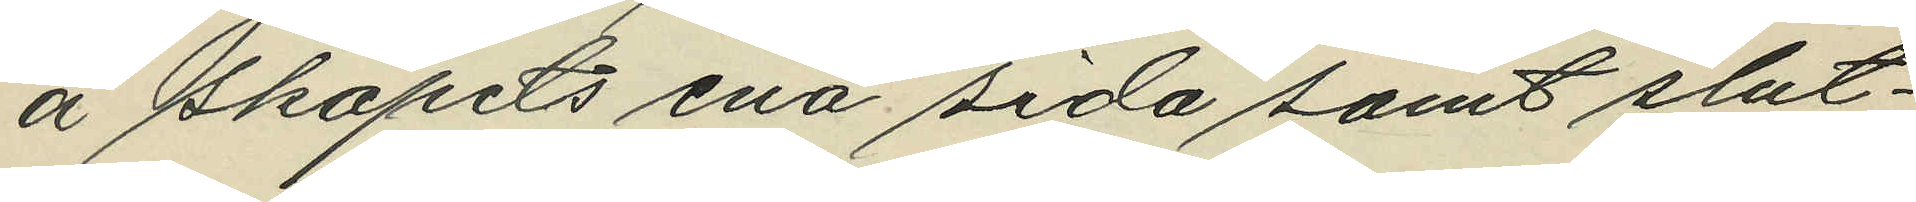å skåpets ena sida samt slut¬
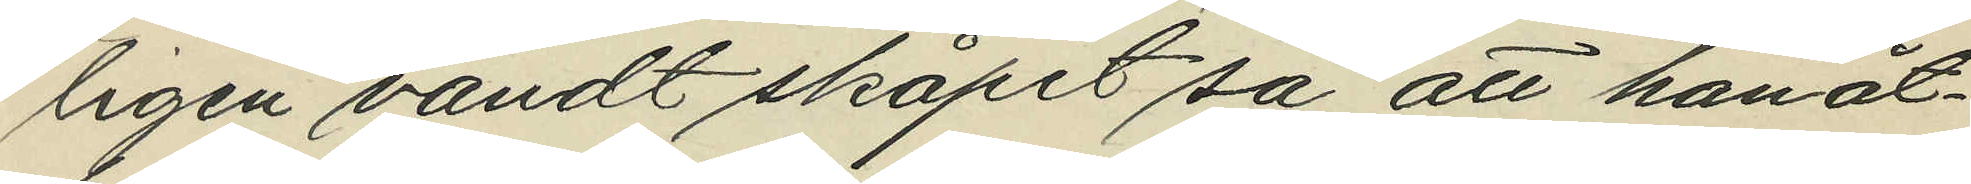ligen vändt skåpet så att han åt¬
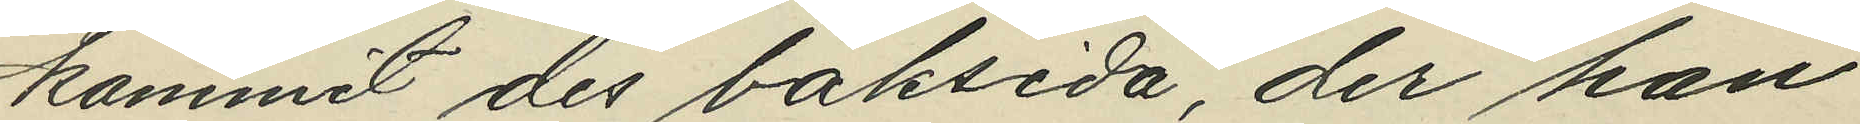kommit des baksida, der han
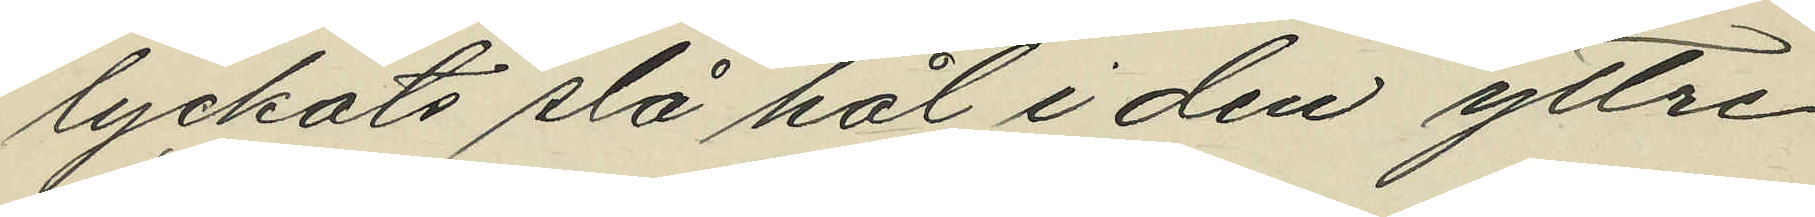lyckats slå hål i den yttre
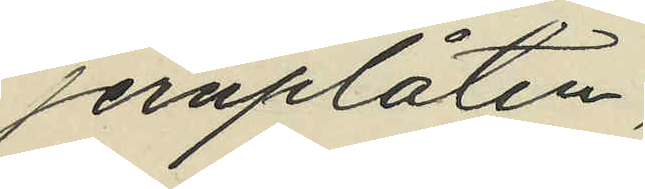jernplåten;
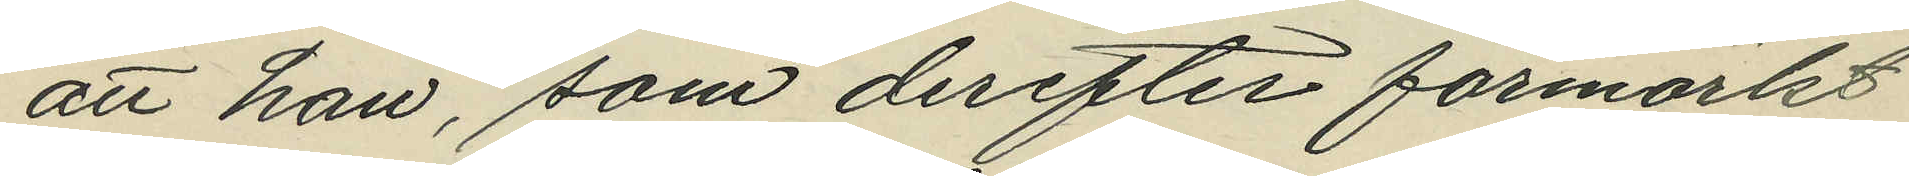att han, som derefter förmärkt
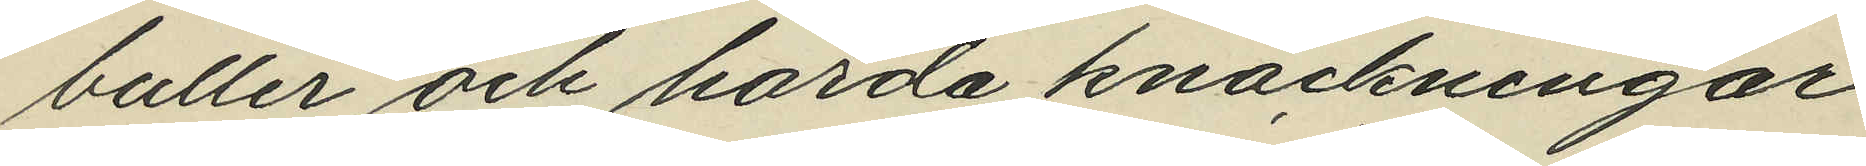buller och hårda knackningar
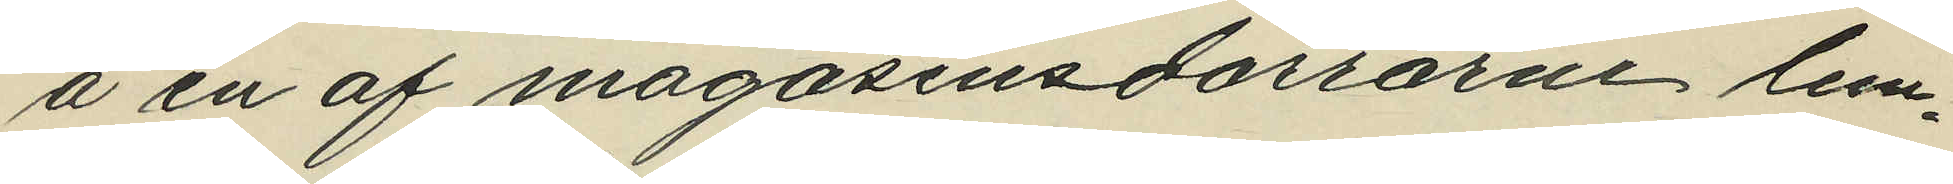å en af magasinsdörrarne lem¬
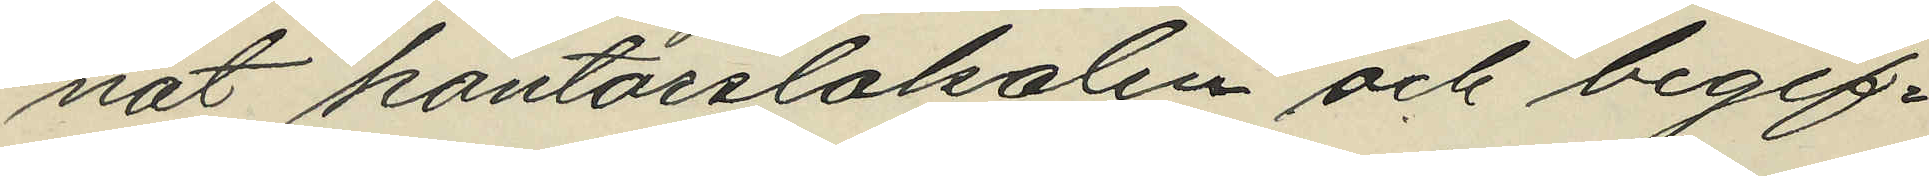nat kontorslokalen och begif¬
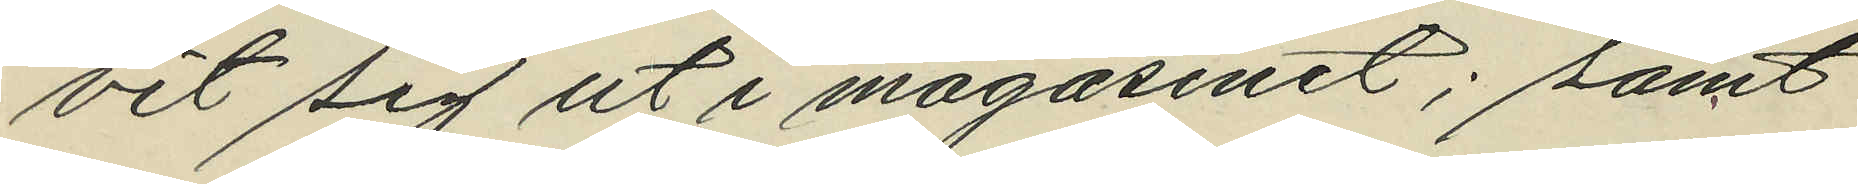vit sig ut i magasinet; samt
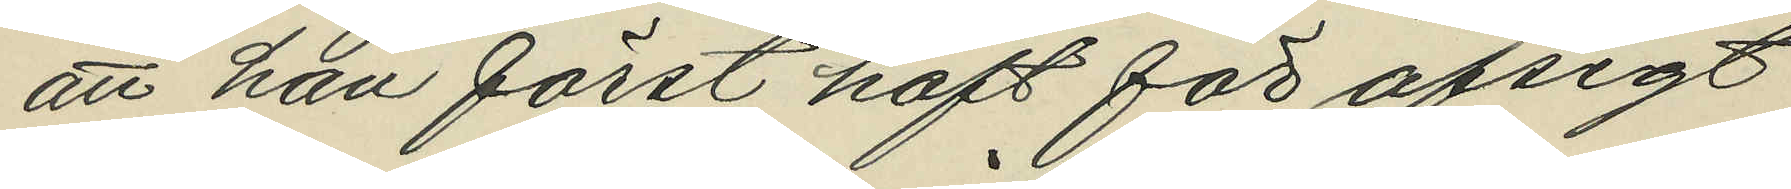att han först haft för afsigt
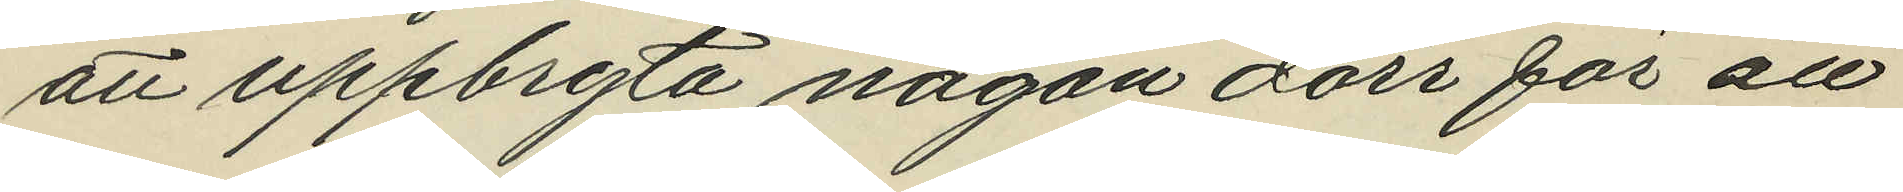att uppbryta någon dörr för att
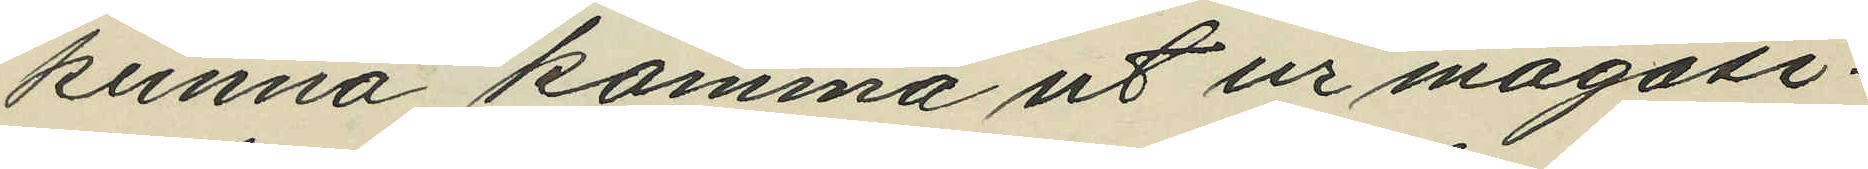kunna komma ut ur magasi¬
